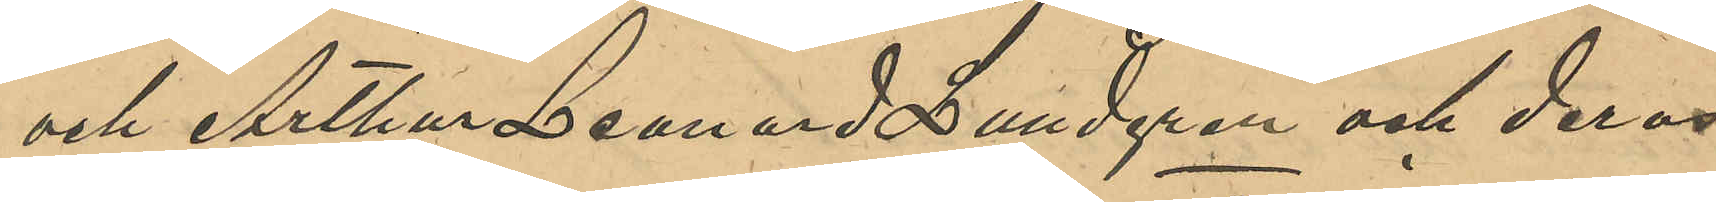och Arthur Leonard Lundgren och deras
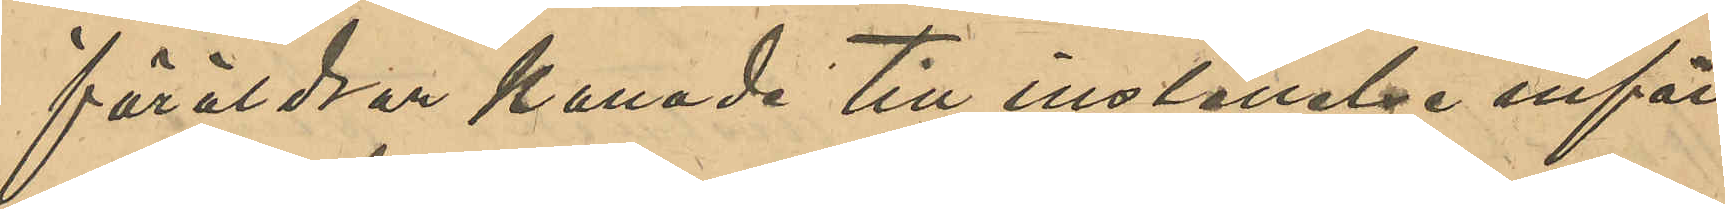föräldrar kallade till inställelse inför
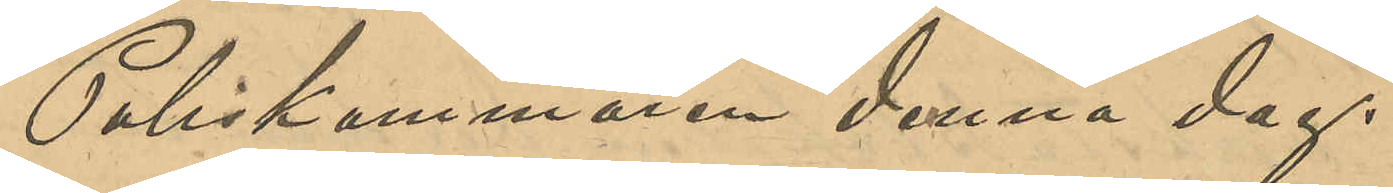Poliskammaren denna dag.
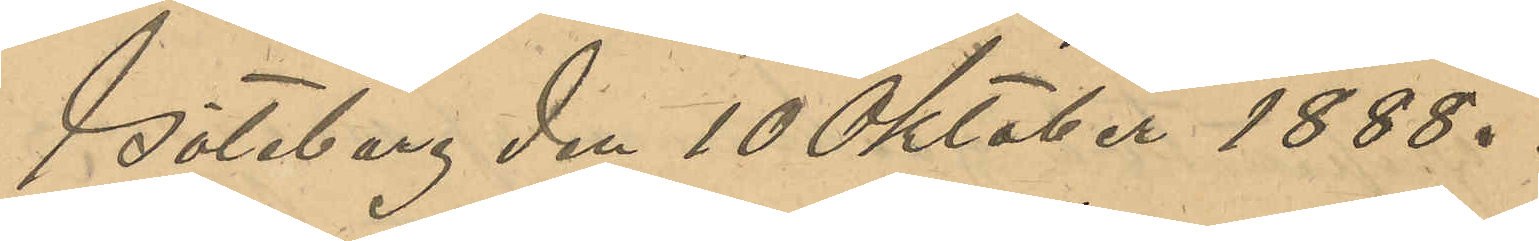Göteborg den 10 Oktober 1888.
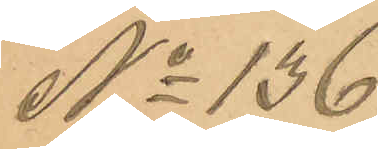No 136
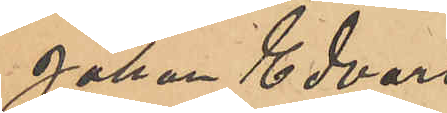Johan Edvard
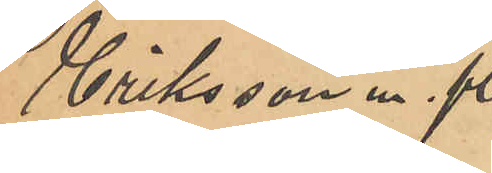Eriksson m. fl.
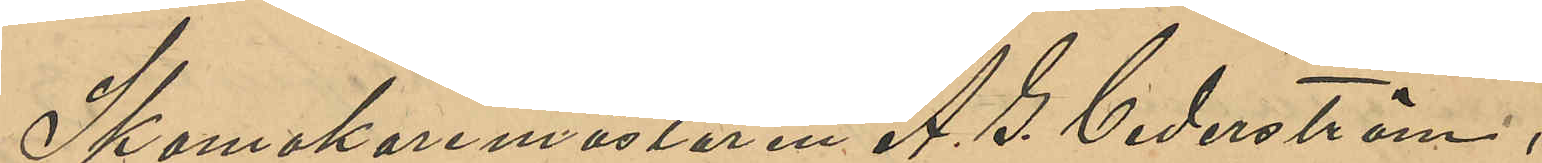Skomakaremästaren A. G. Cederström,
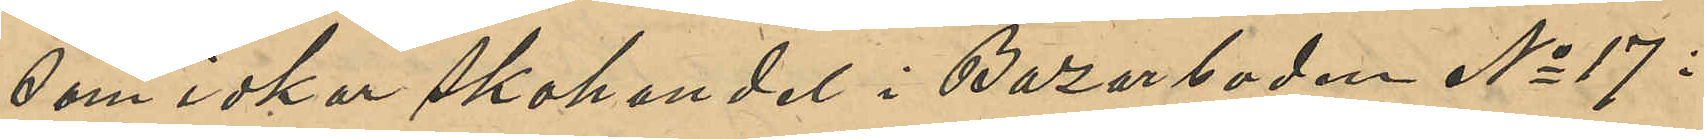som idkar skohandel i Bazarboden No 17 i
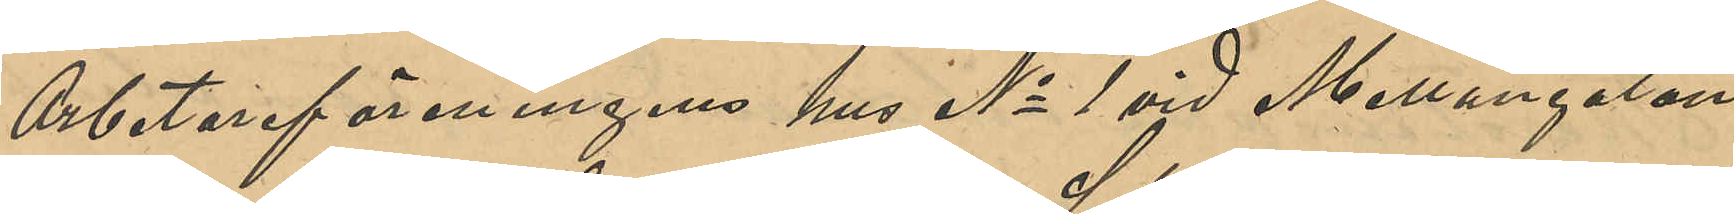Arbetarföreningens hus No 1 vid Mellangatan
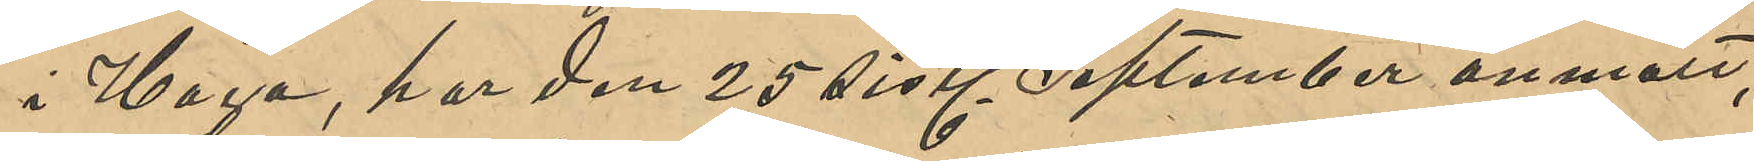i Haga, har den 25 sistl. September anmält,
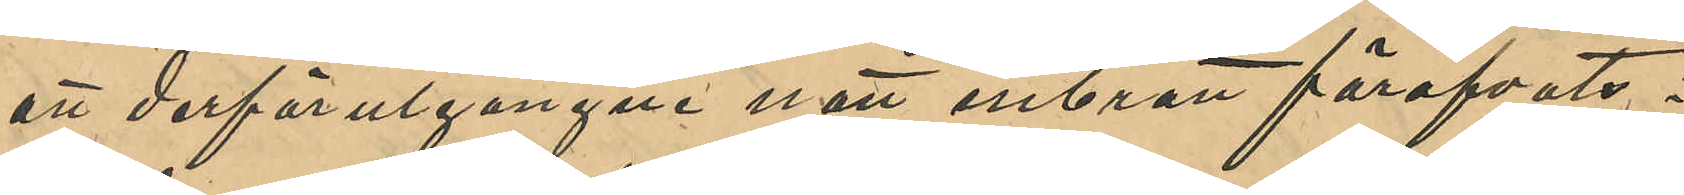att derförutgångne natt inbrott föröfvats i
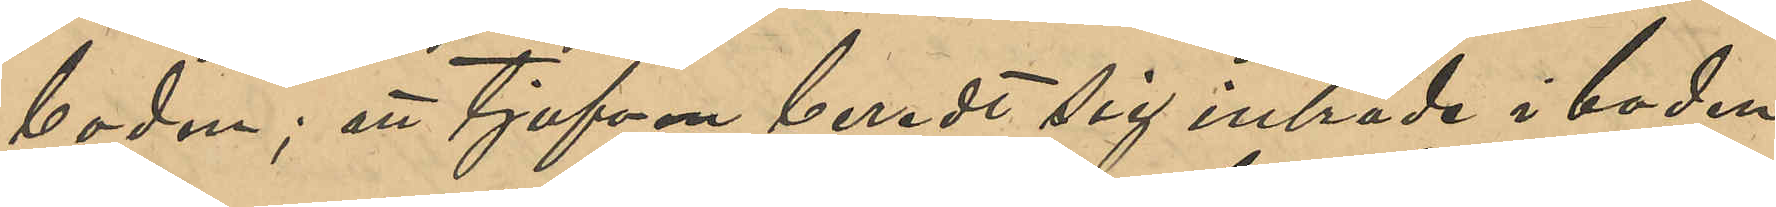boden; att tjufven beredt sig inträde i boden
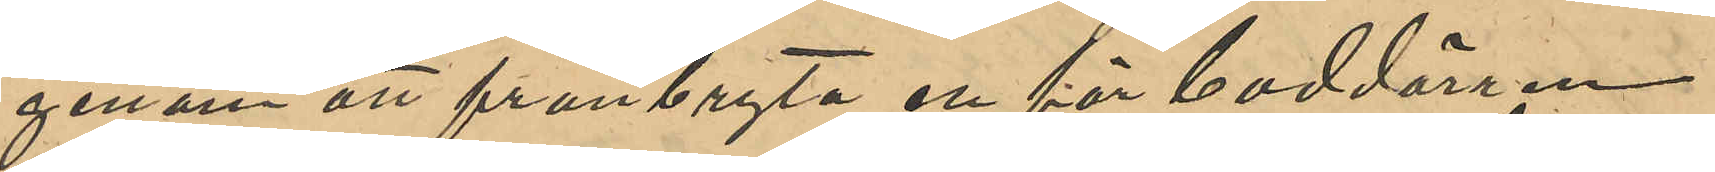genom att frånbryta en för boddörren
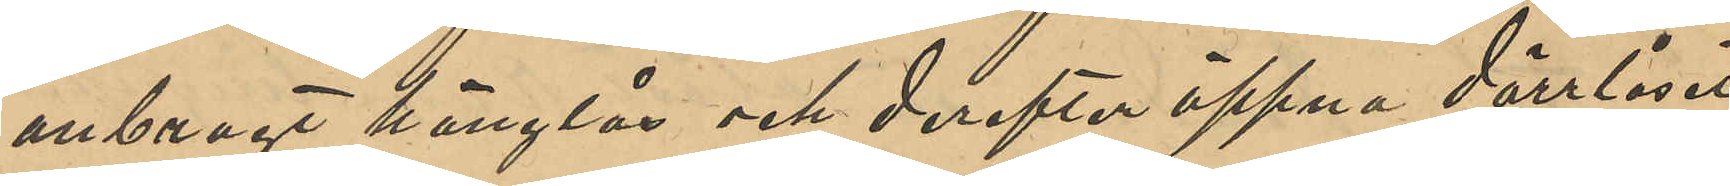anbragt hänglås och derefter öppna dörrlåset
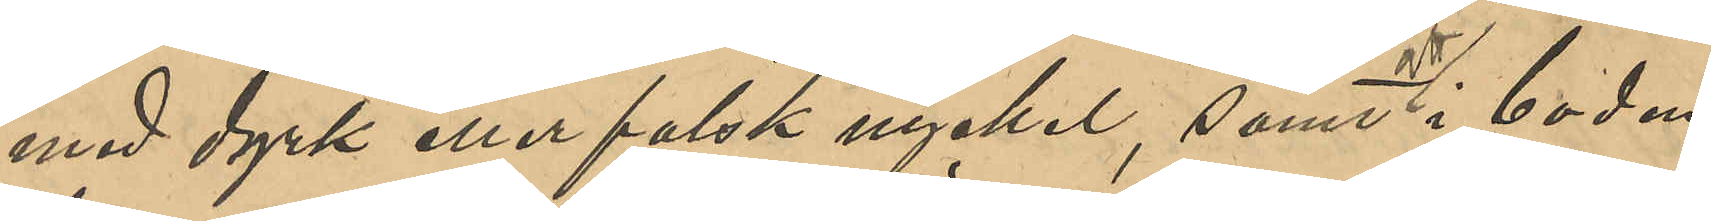med dyrk eller falsk nyckel, samt att i boden
